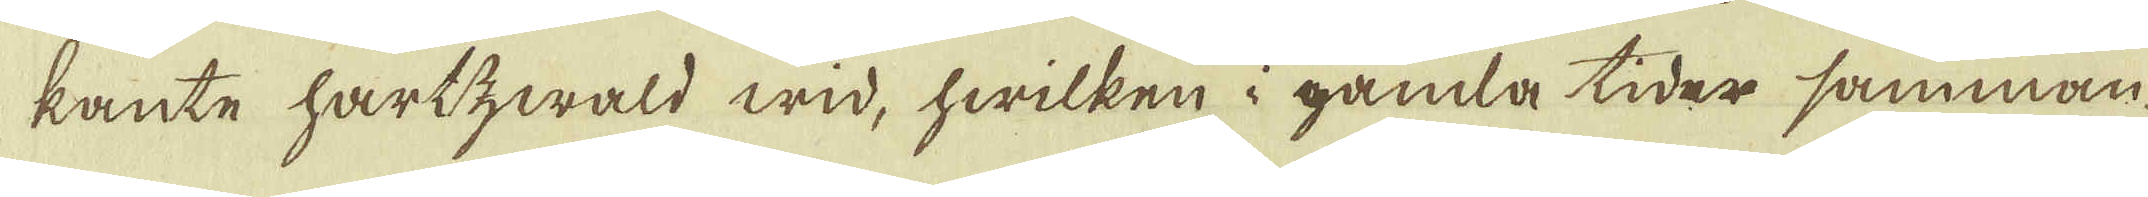kante hartzwald wid, hwilken i gamla tider samman-
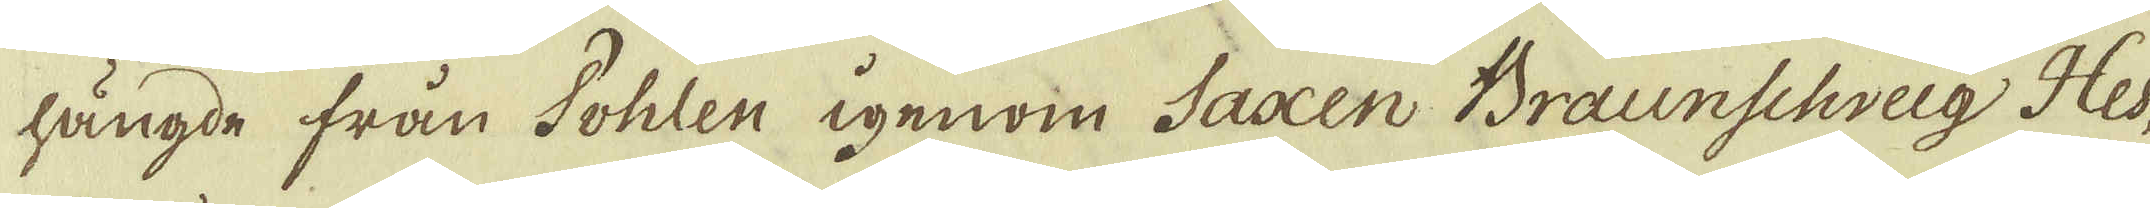längde från Pohlen igenom Saxen Braunschveig Hes-
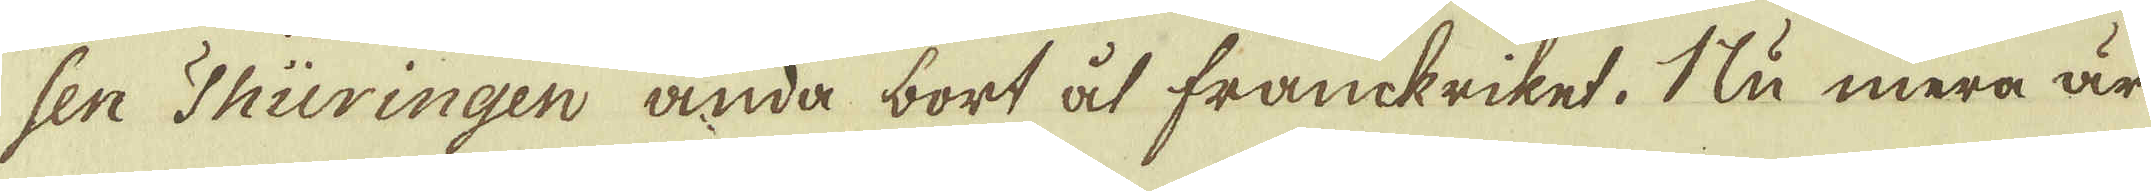sen Thüringen ända bort åt frankriket. Nu mera är
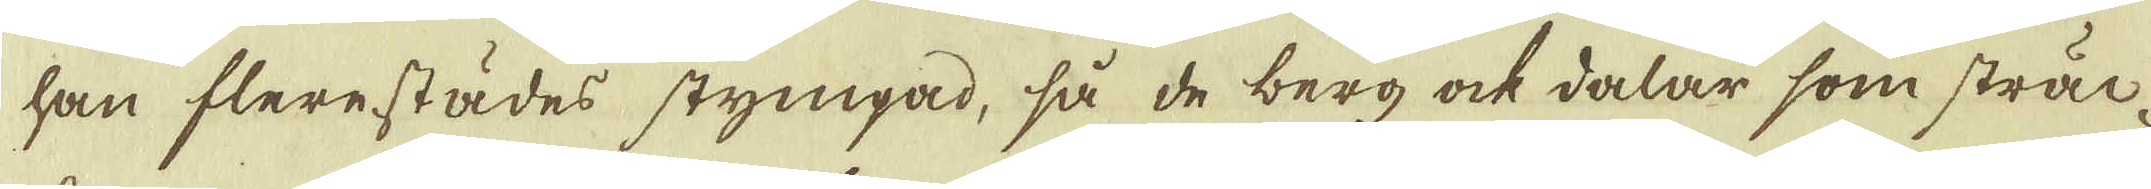han flerestädes stympad, så de berg ock dalar som sträc-
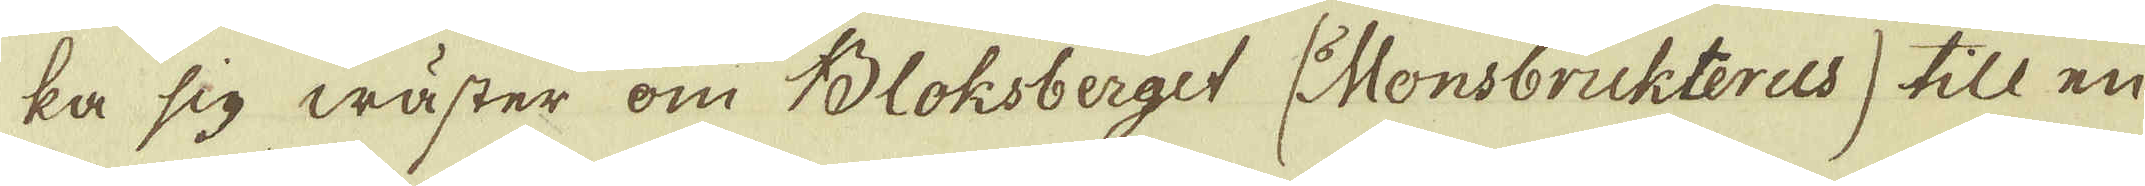ka sig wäster om Bloksberget (Monsbrukterus) till en
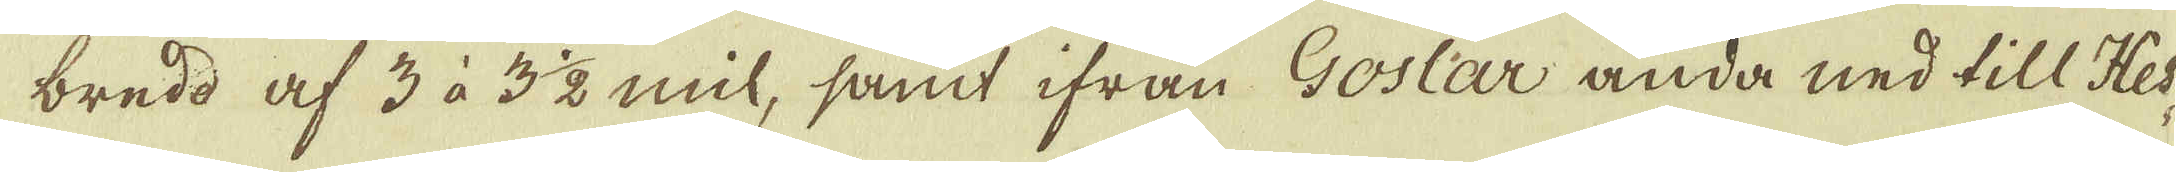bredd af 3 à 3 1/2 mil, samt ifrån Goslar ända ned till Hes-
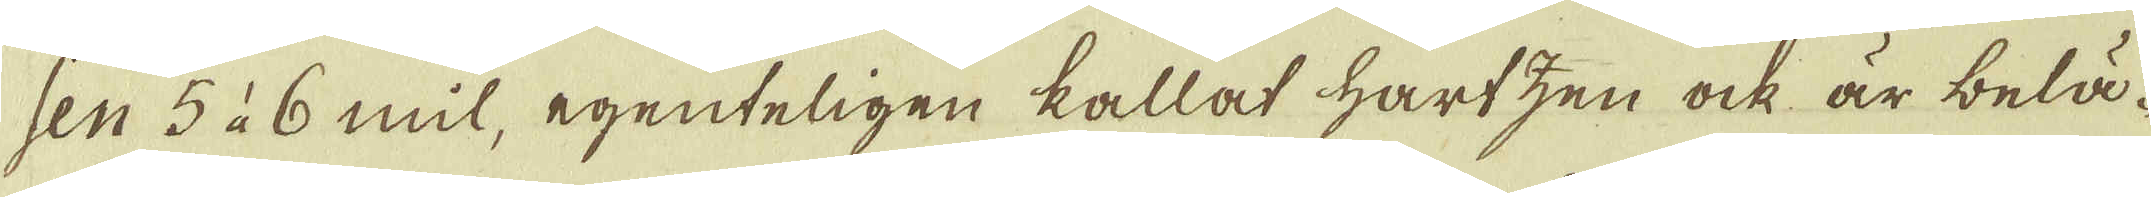sen 5 à 6 mil, egenteligen kallat Hartzen ock är belä-
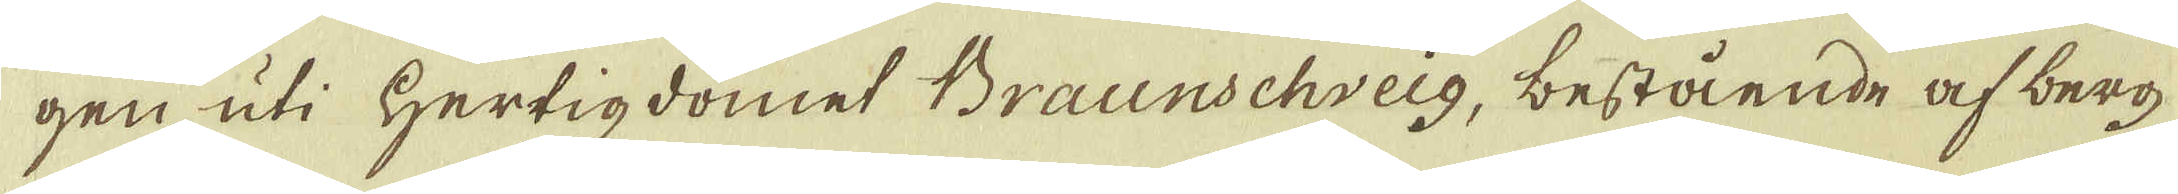gen uti Hertigdömet Braunschveig, bestående af berg
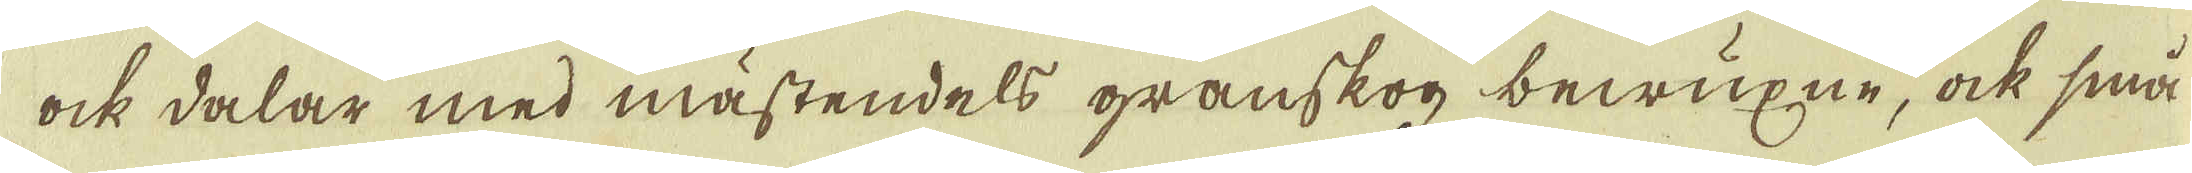ock dalar med mästendels granskog bewäxne, ock små
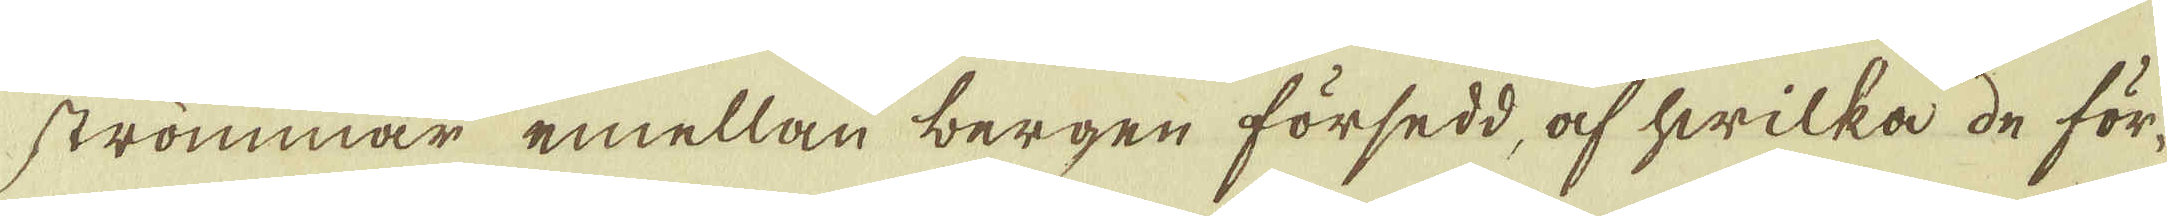strömmar emellan bergen försedd, af hwilka de för-
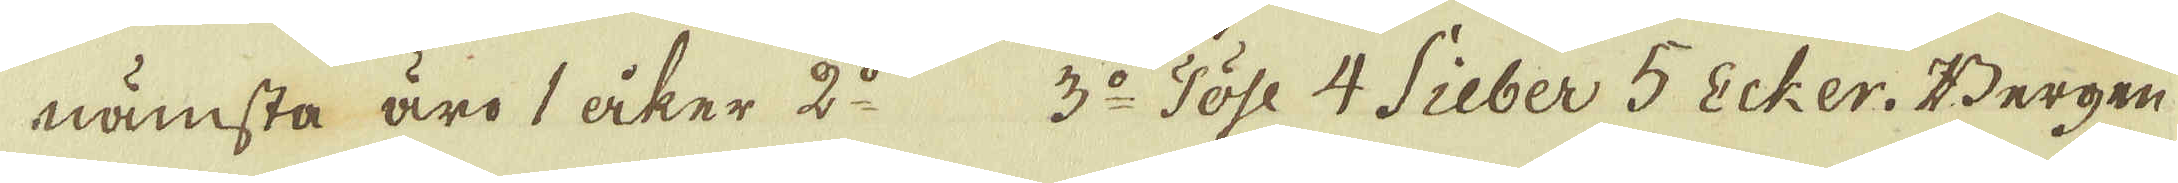nämsta äro 1 åker 2:o 3:o Töse 4 Sieber 5 Ecker. Bergen
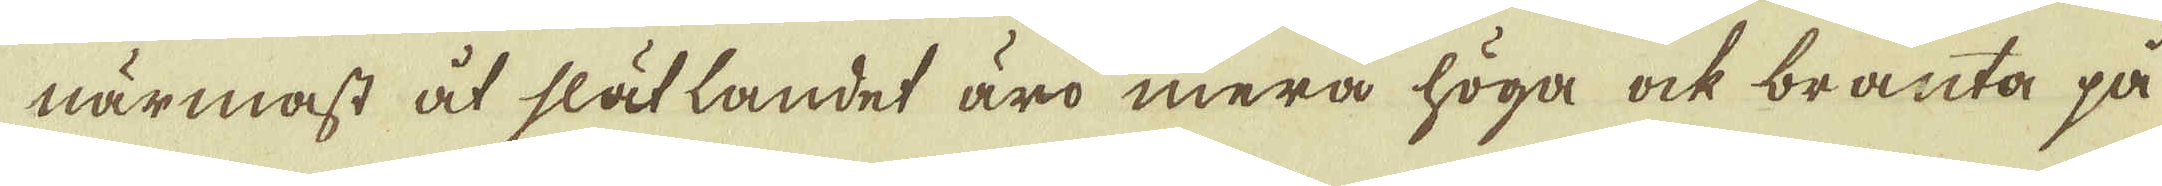närmast åt slätlandet äro mera höga ock branta på
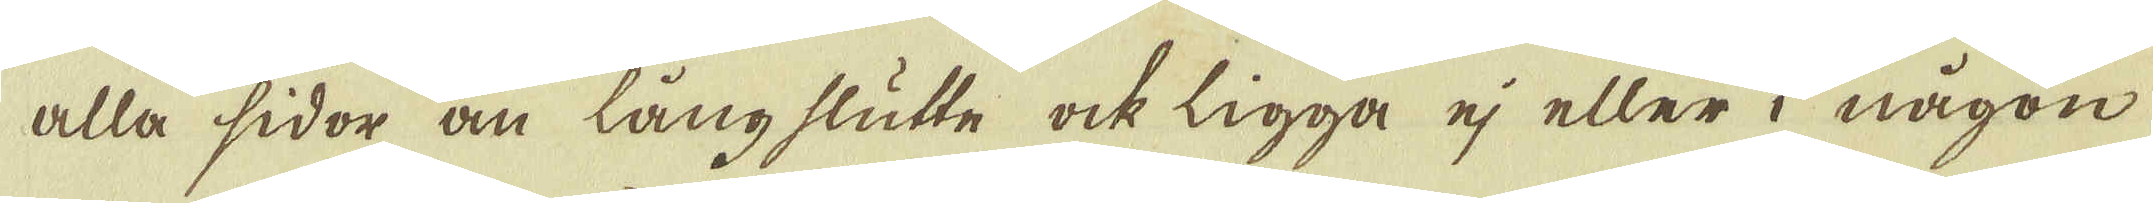alla sidor än lång slutte ock ligga ej eller i någon
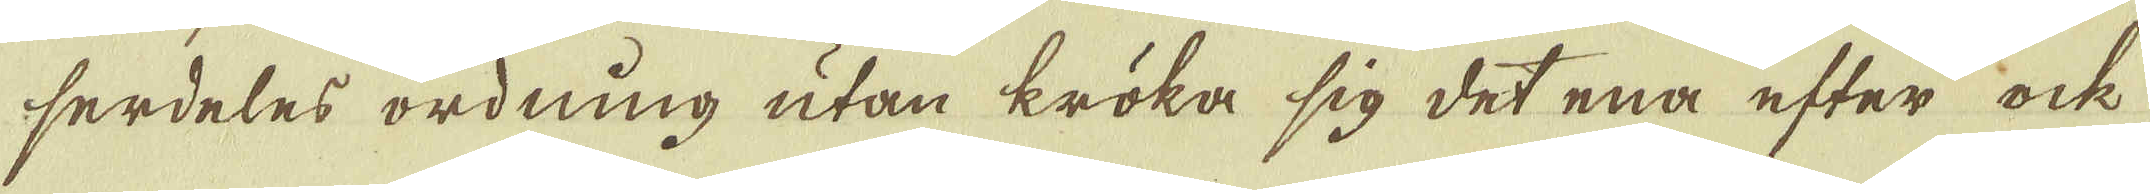serdeles ordning utan kröka sig det ena efter ock
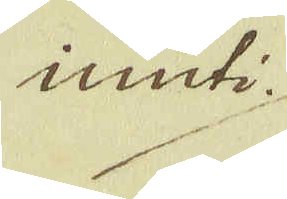inuti
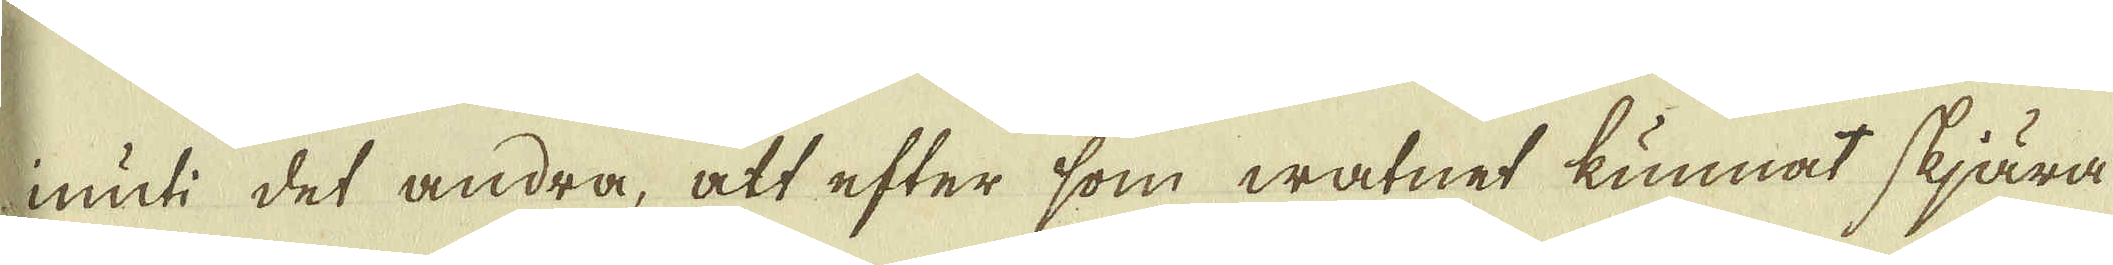inuti det andra, att efter som watnet kunnat skjära
